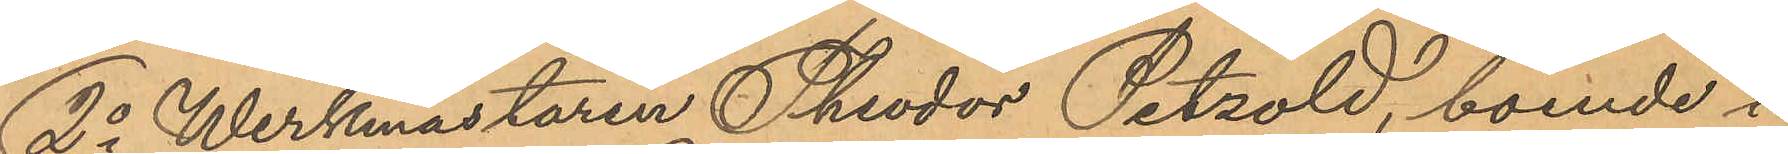2o Werkmästaren Theodor Petzold, boende i
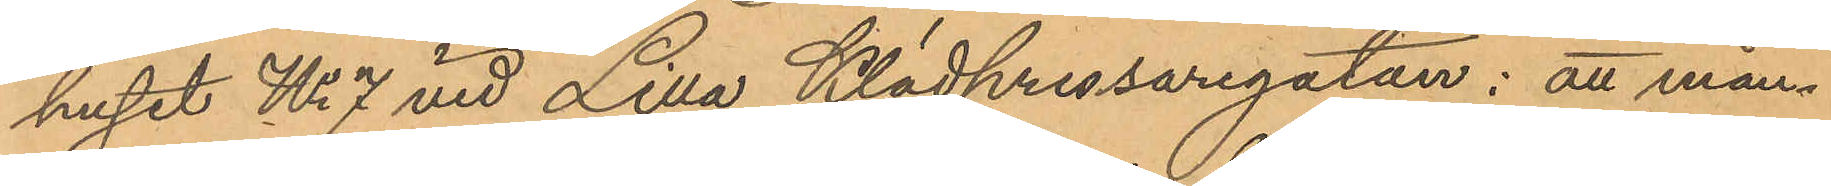huset No 7 vid Lilla Klädpressaregatan: att mån¬
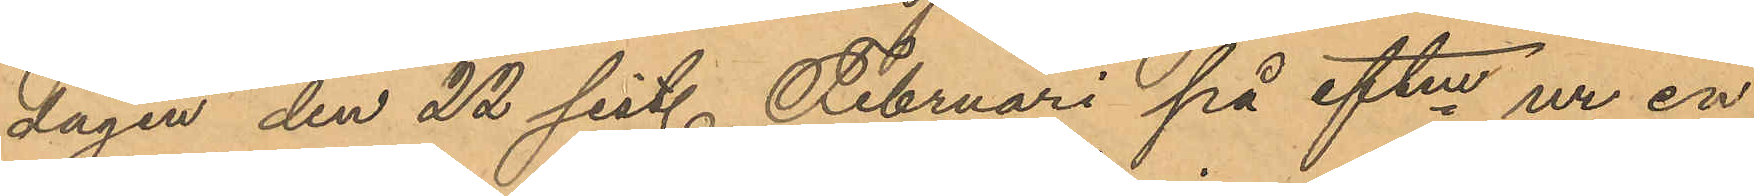dagen den 22 sist. Februari på eftm ur en
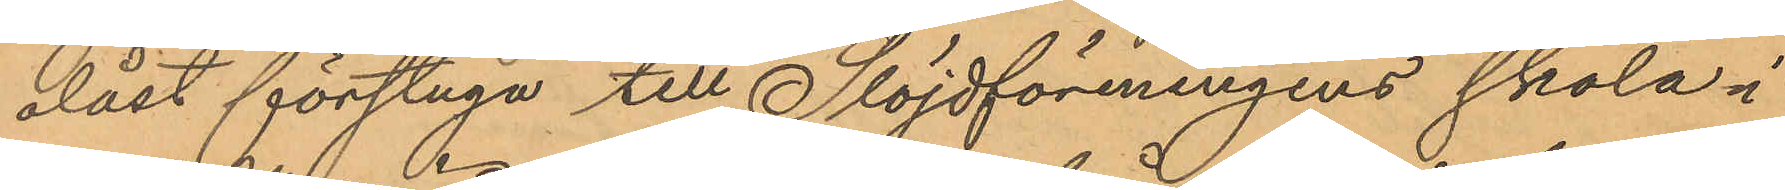olåst förstuga till Slöjdföreningens skola i
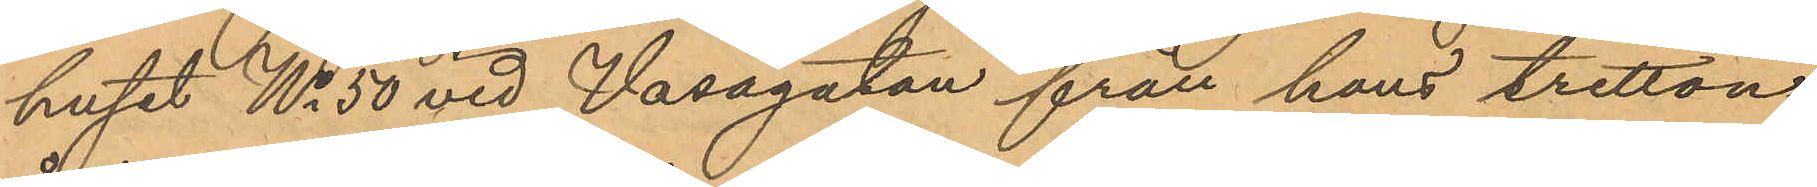huset No 50 vid Vasagatan från hans tretton¬
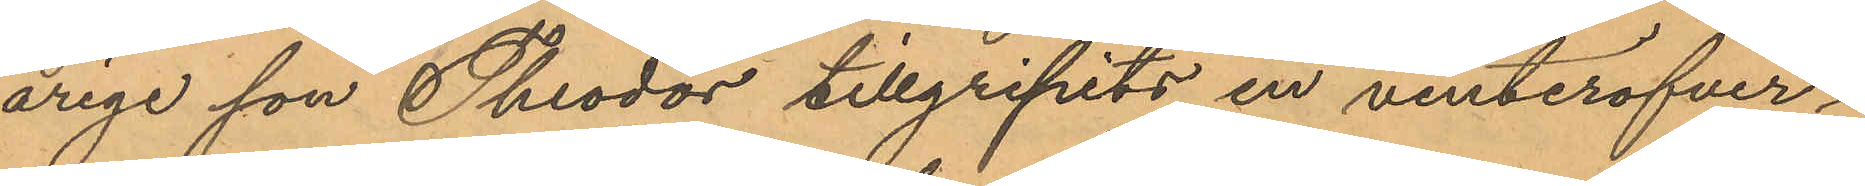årige son Theodor tillgripits en vinteröfver¬
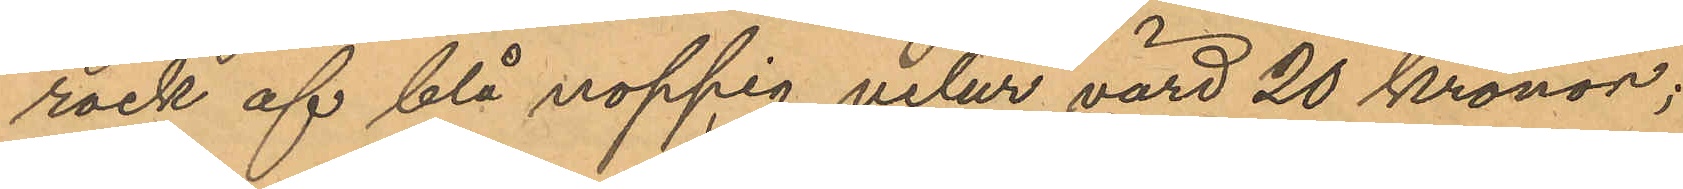rock af blå noppig velur värd 20 Kronor;
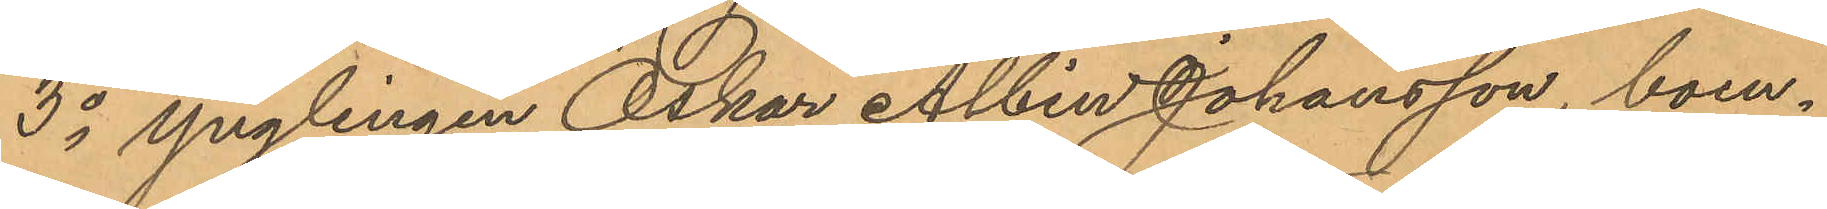3o ynglingen Oskar Albin Johansson, boen¬
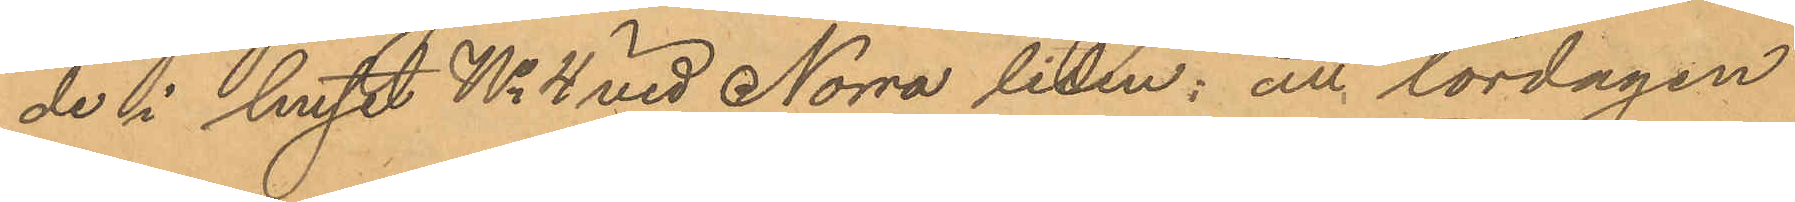de i huset No 4 vid Norra liden: att lördagen
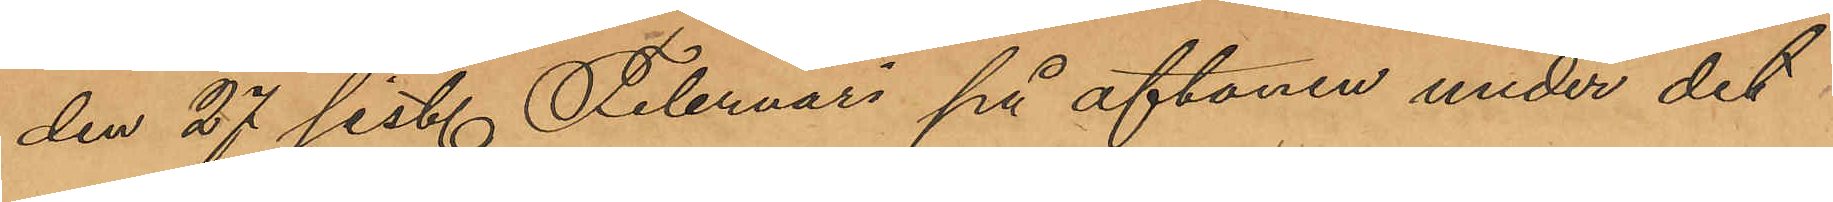den 27 sist. Februari på aftonen under det
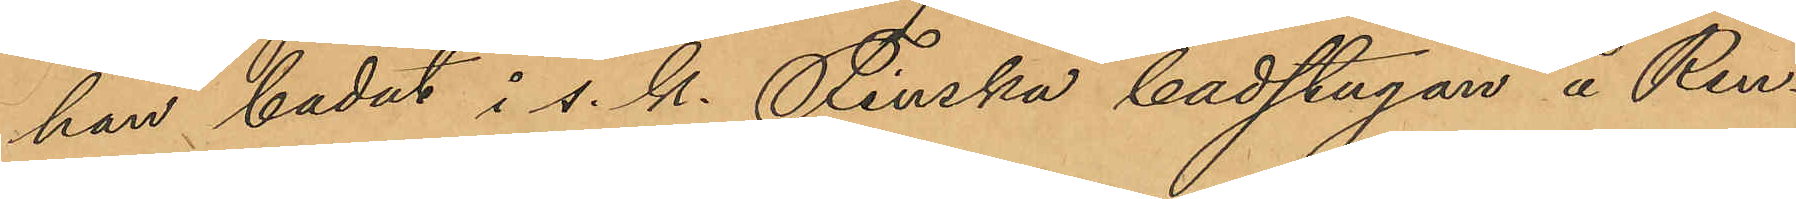han badat i s. k. Finska badstugan å Ren¬
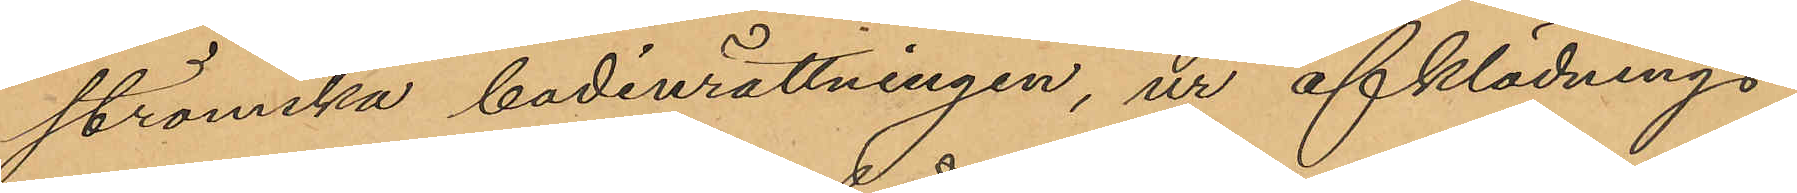strömska badinrättningen, ur afklädnings¬
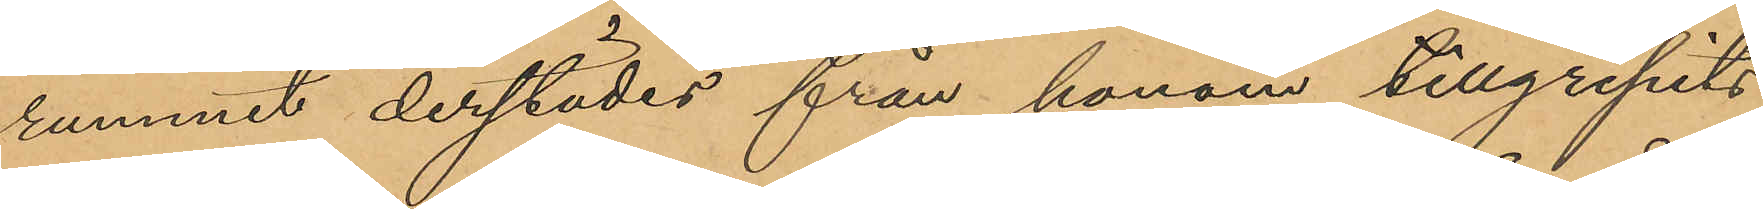rummet derstädes från honom tillgripits
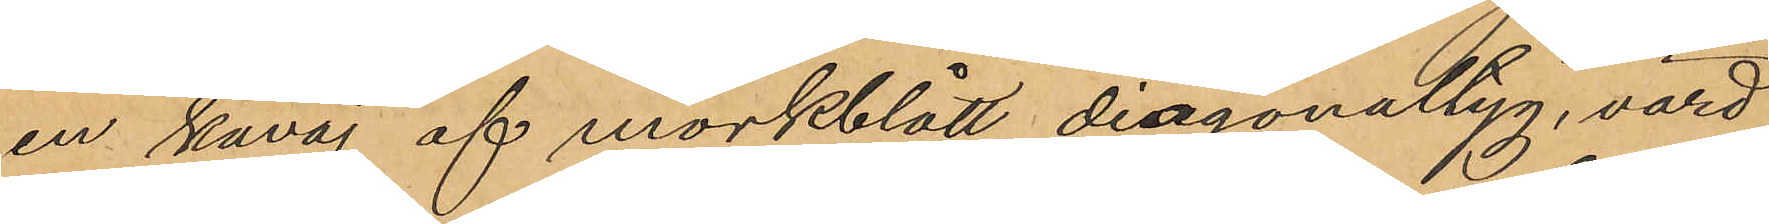en kavaj af mörkblått diagonaltyg, värd
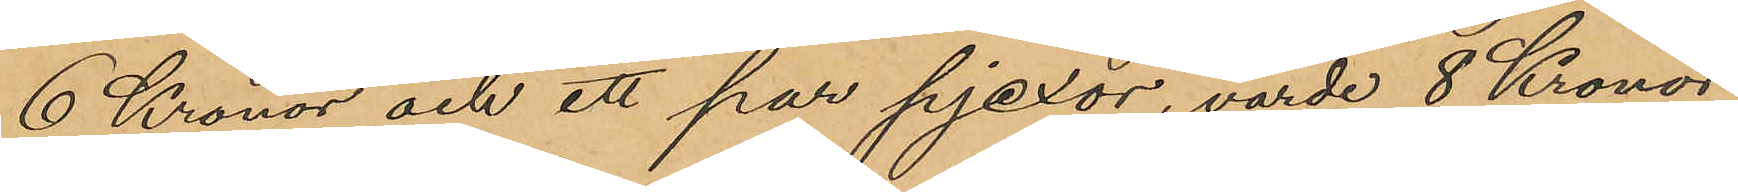6 Kronor och ett par pjexor, värde 8 Kronor.
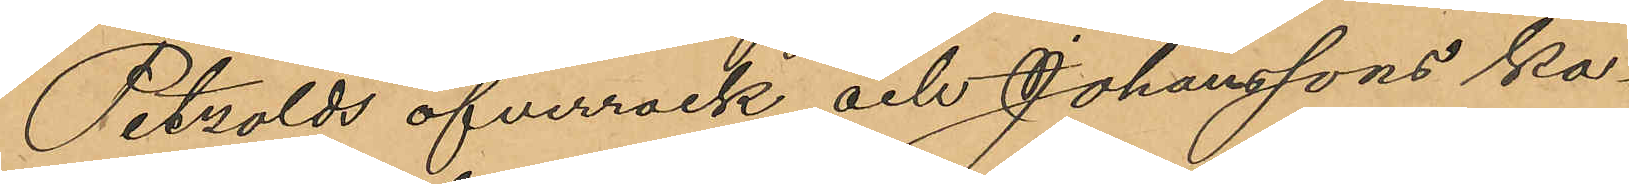Petzolds öfverrock och Johanssons ka¬
